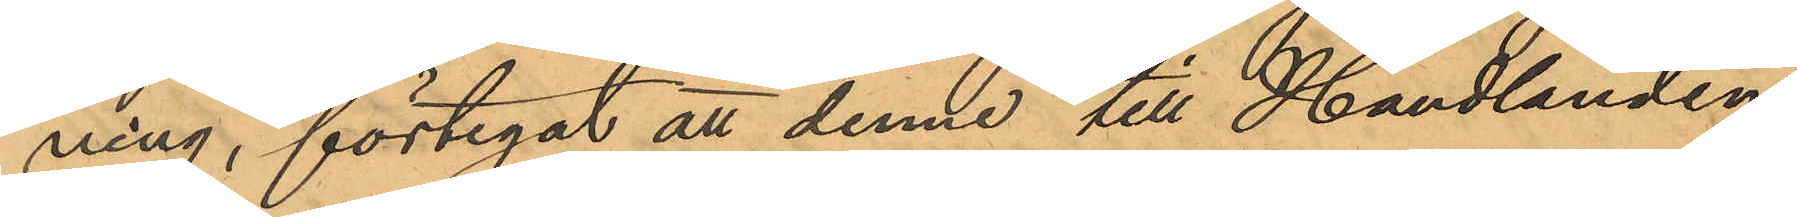ning, förtegat att denne till Handlanden
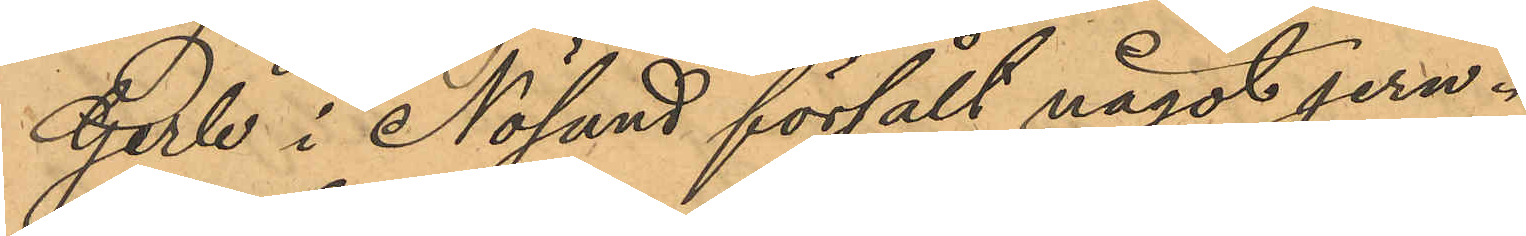Gerle i Nösund försålt något jern.
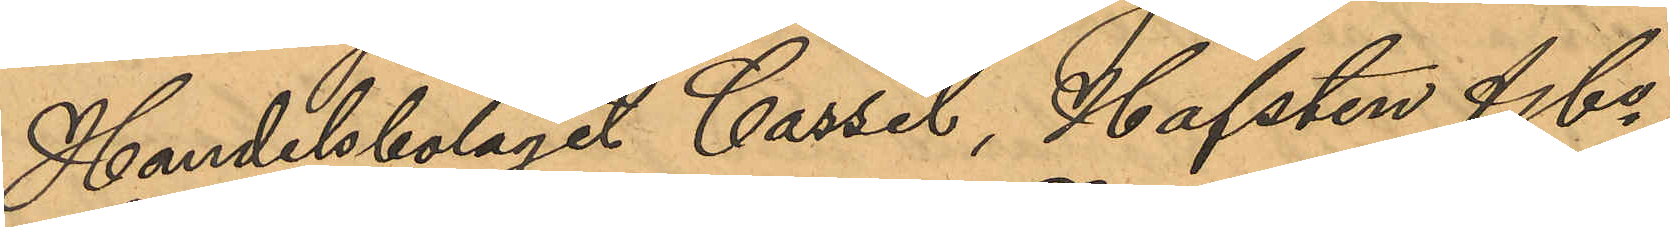Handelsbolaget Cassel, Hafsten & Co,
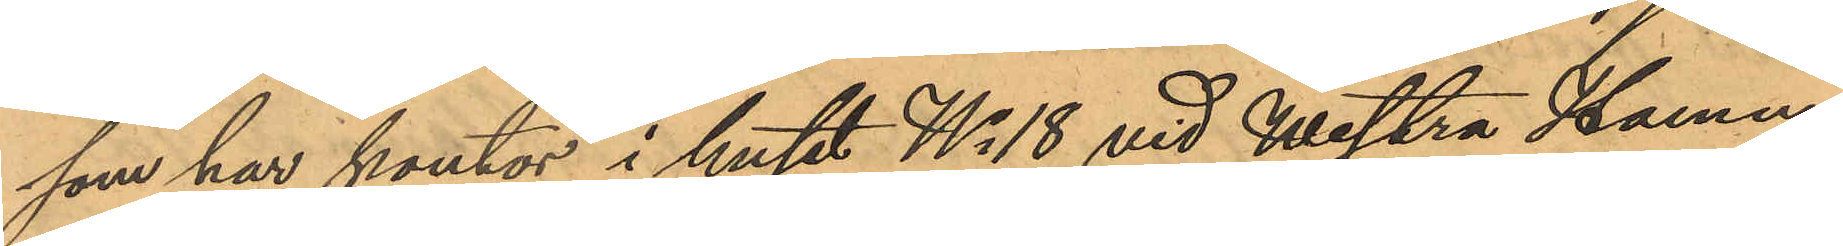som har kontor i huset No 18 vid Westra Hamn¬
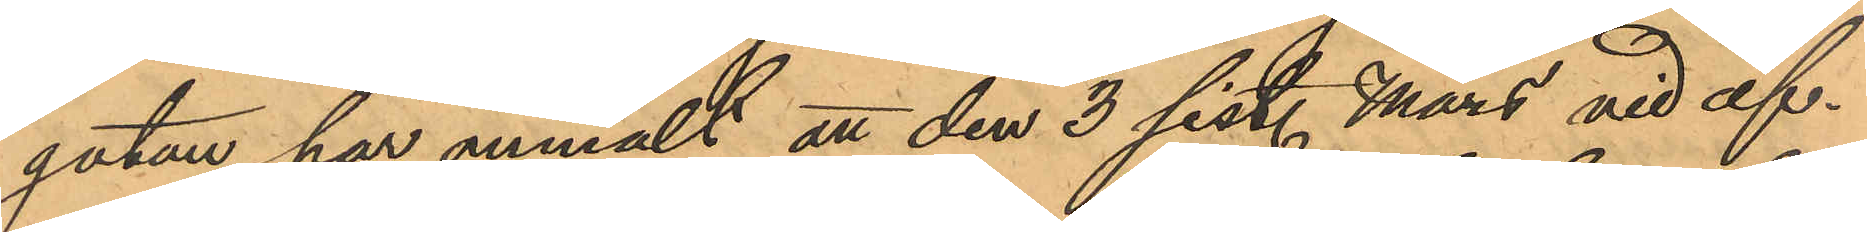gatan, har anmält att den 3 sist. Mars vid af¬
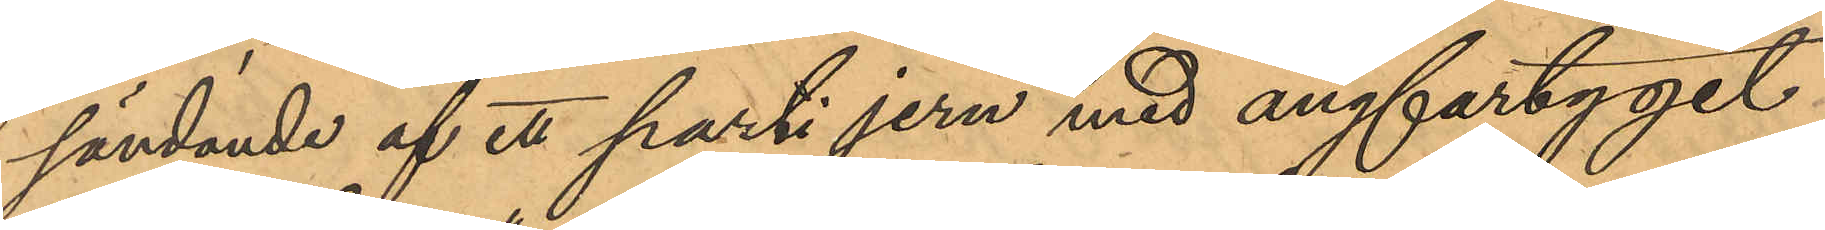sändande af ett parti jern med ångfartyget
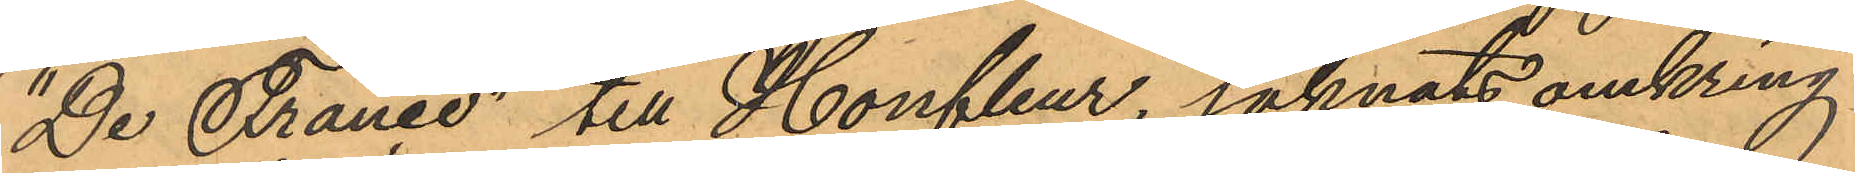"De France" till Honfleur, saknats omkring
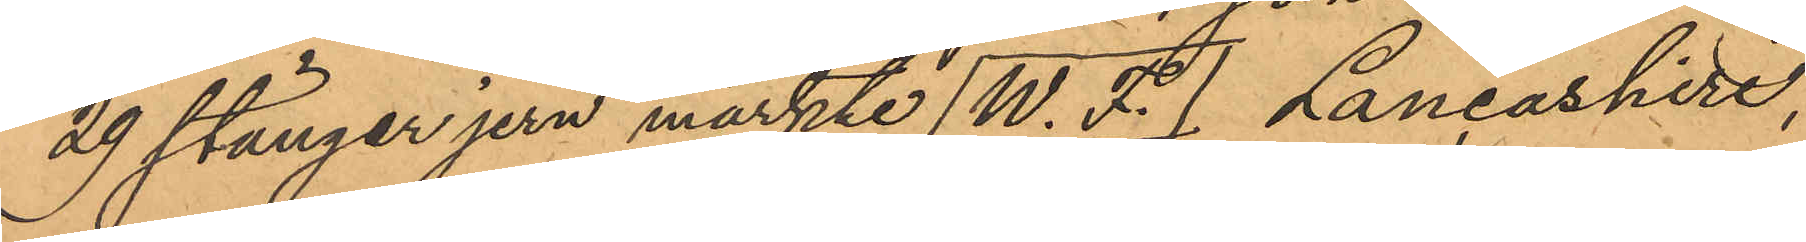29 stänger jern märkte W. F. Laneashire,
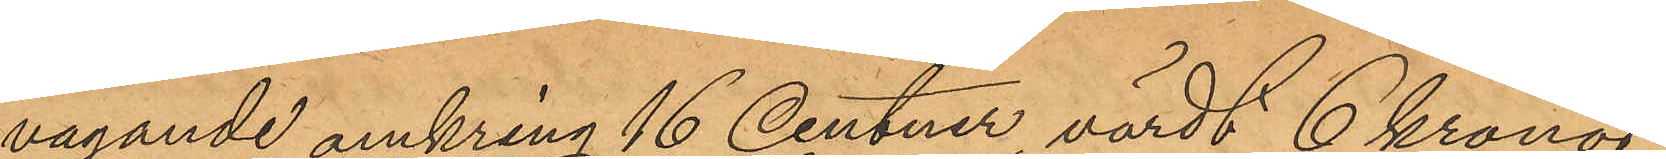vägande omkring 16 centner, värdt 6 kronor
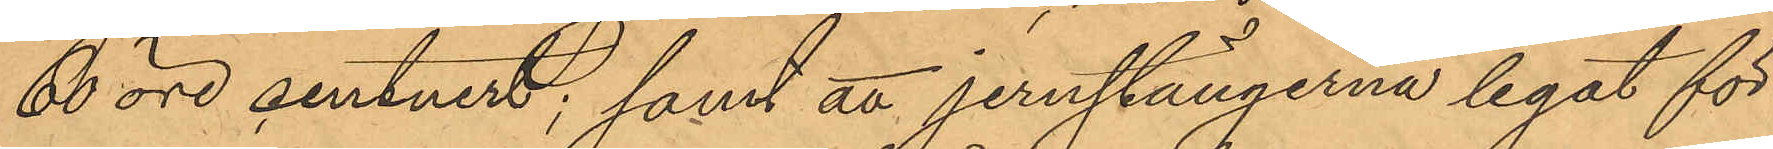60 öre centnert; samt att jernstängerna legat för
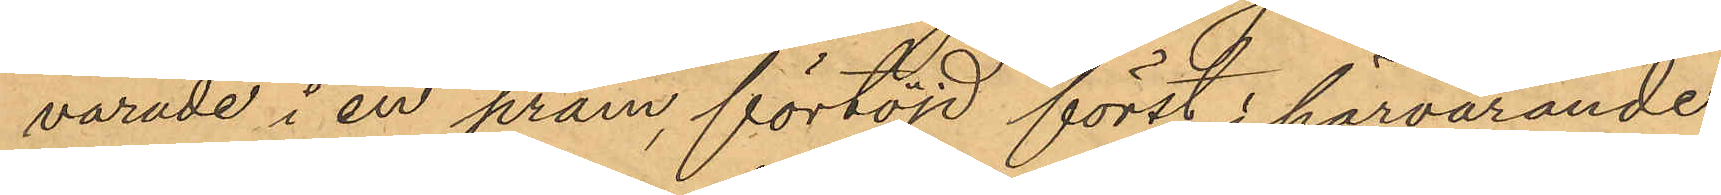varade i en pråm, förtöjd först i härvarande
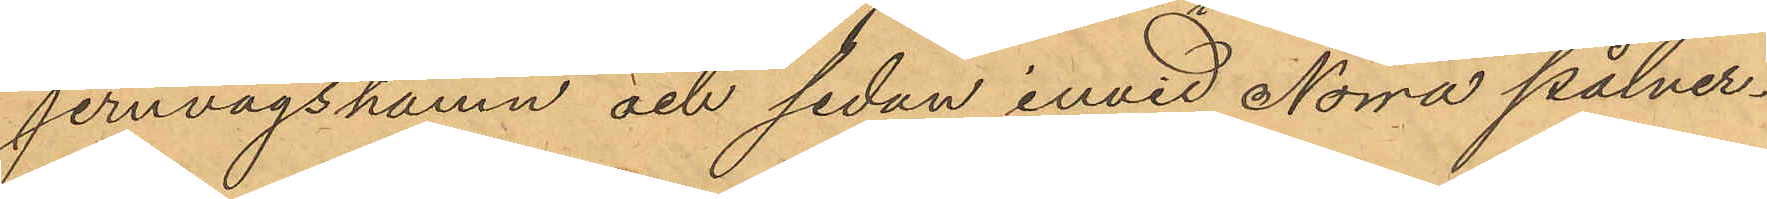jernvågshamn och sedan invid Norra pålver¬
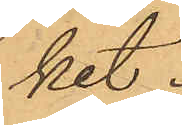ket.
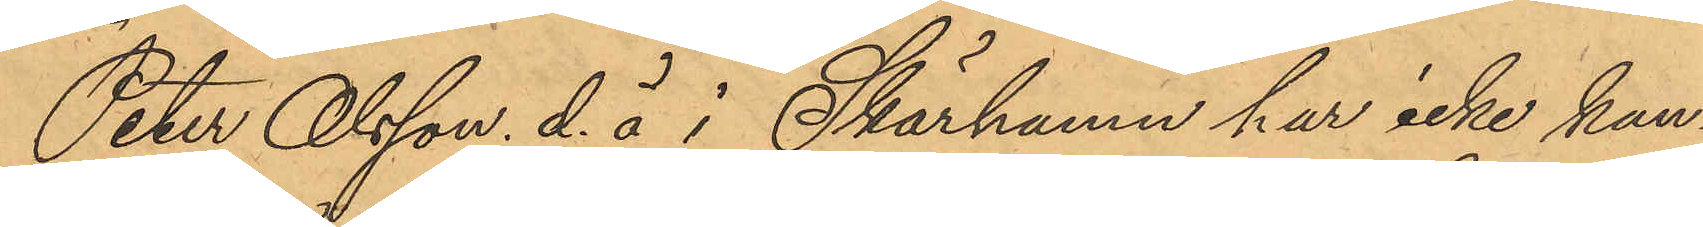Peter Olsson d. ä i Skärhamn har icke kun¬
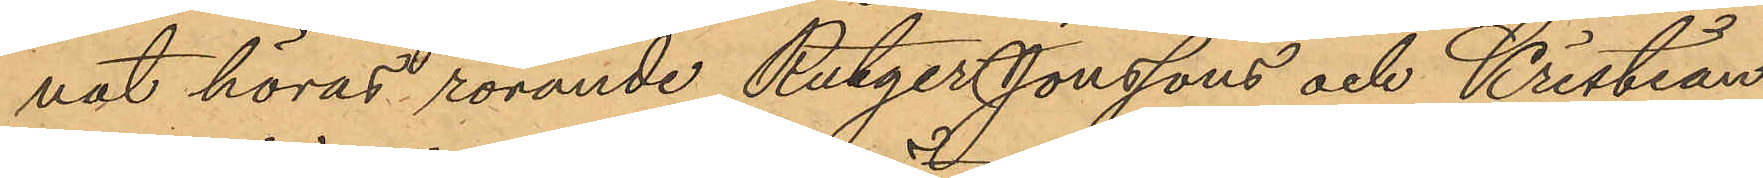nat höras rörande Rutger Jonssons och Kristian
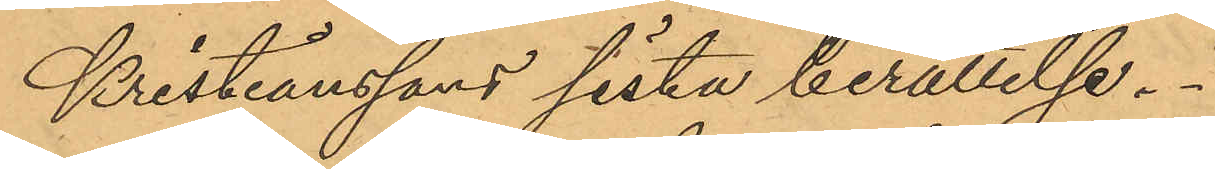Kristianssons sista berättelse.
